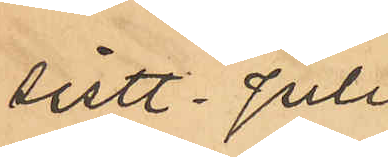sist. Juli
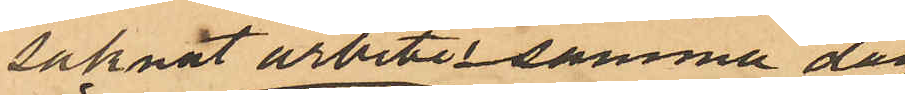saknat arbete i samma dag
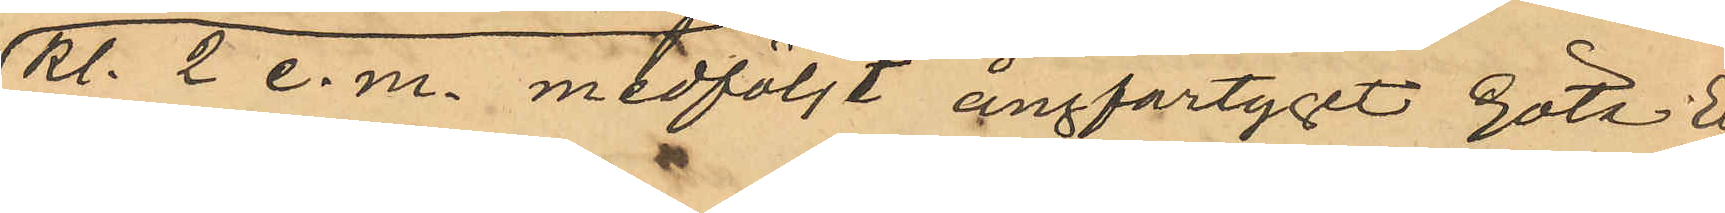Kl 2 e. m. medföljt ångfartyget Göta Elf
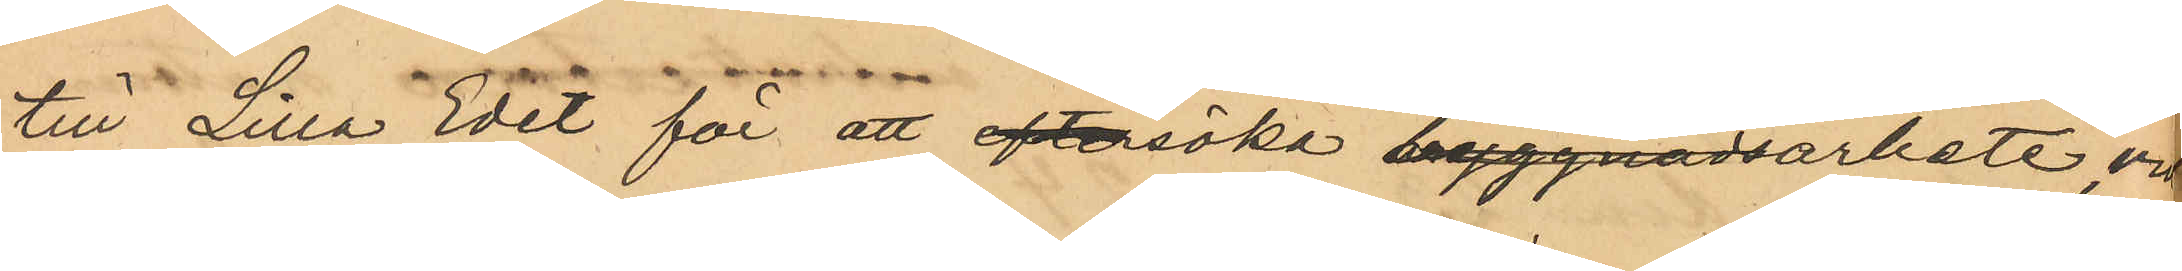till Lilla Edet för att eftersöka byggnadsarbete vid
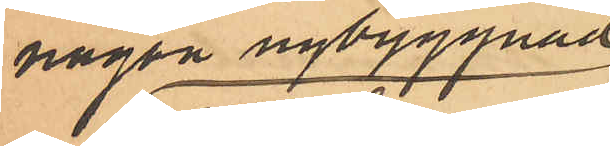någon nybyggnad
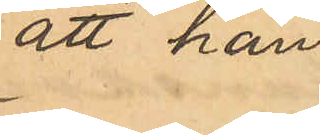att han 
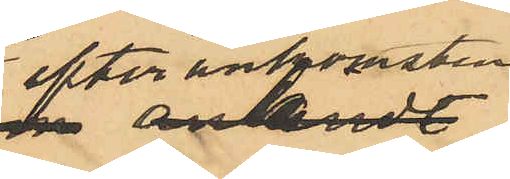efter ankomsten
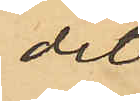dit
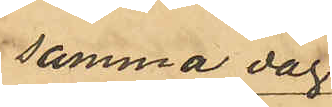samma dag
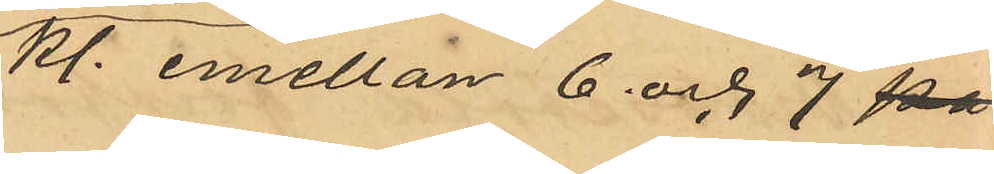Kl. emellan 6 och 7 på
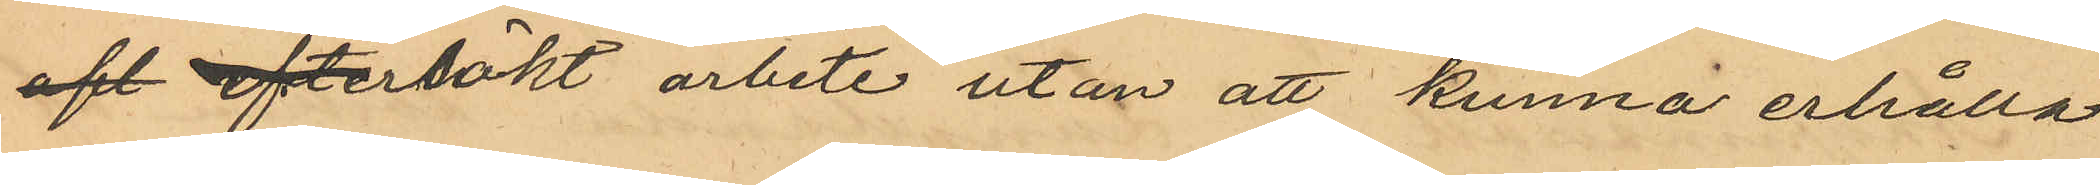aft eftersökt arbete utan att kunna erhålla
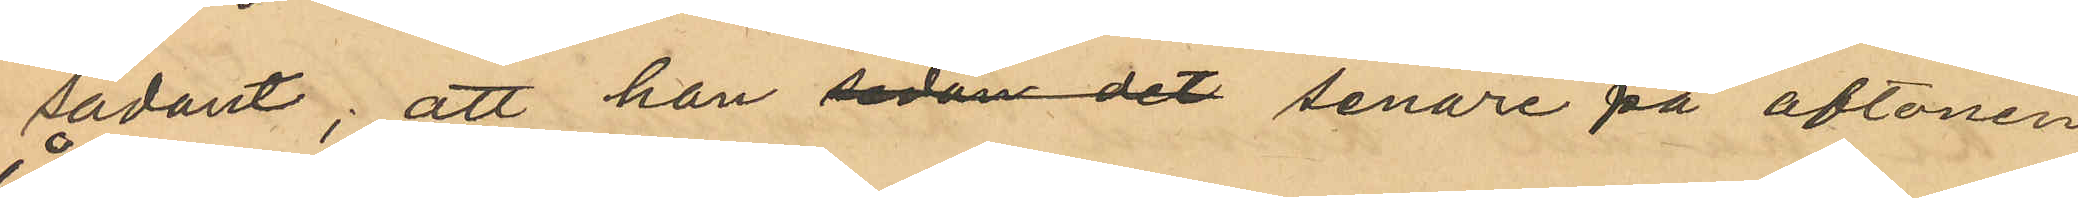sådant; att han sedan det senare på aftonen
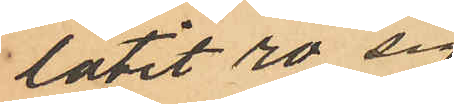låtit ro sig
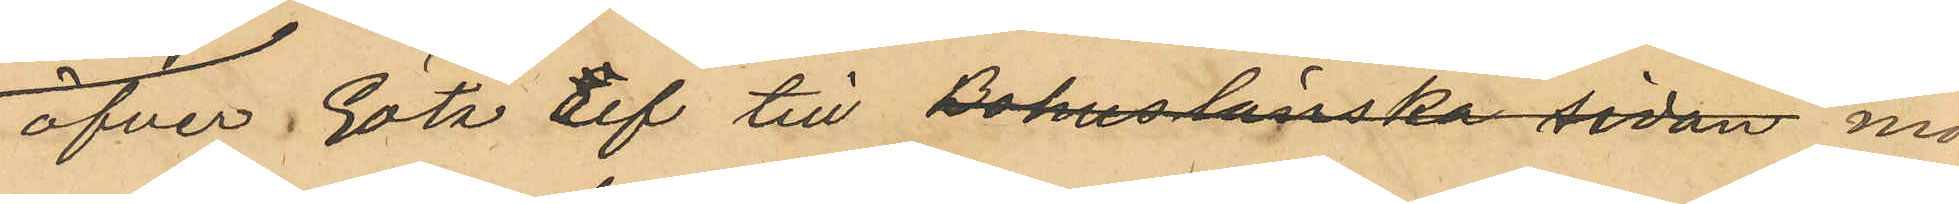öfver Göta Elf till Bohuslänska sidan mot¬
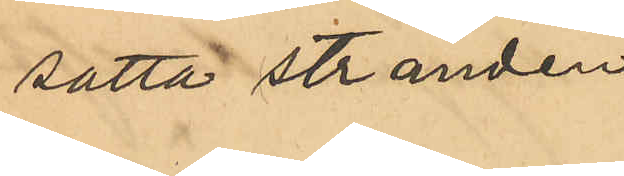satta stranden 
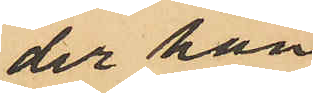der han
